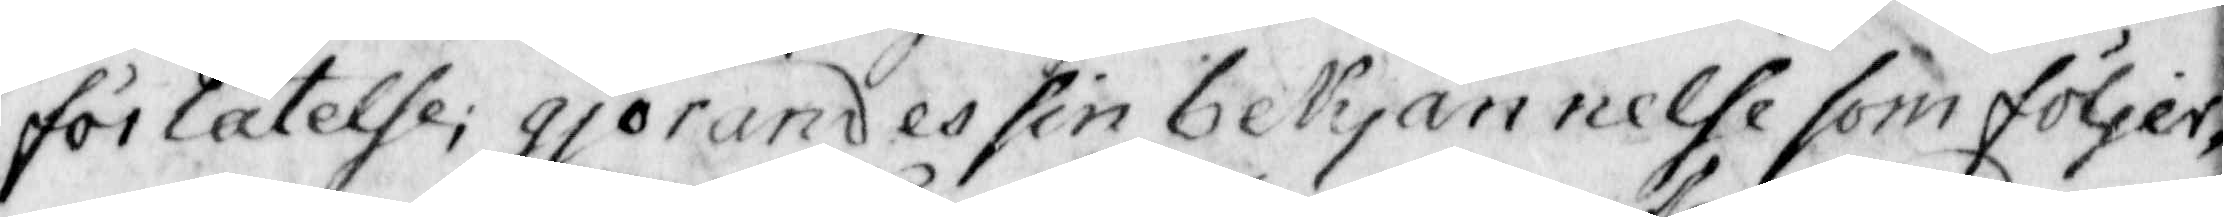förlåtelse; gjörandes sin bekjännelse som följer,
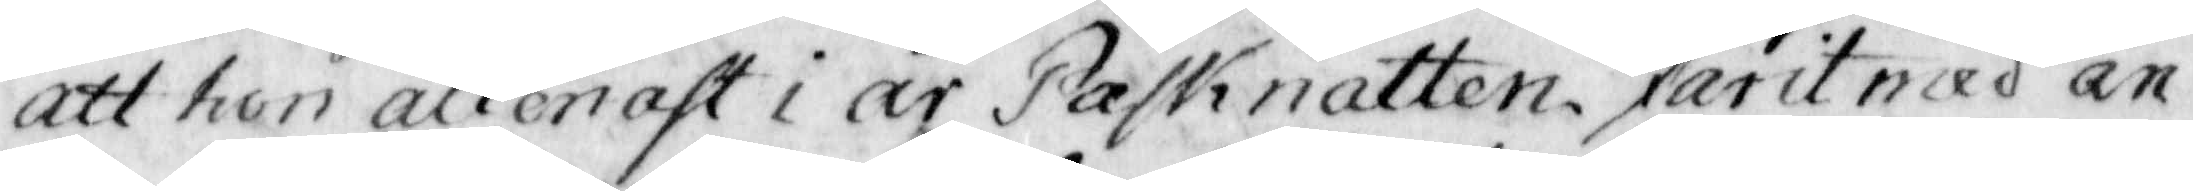att hon allenast i år Påsknatten farit med an¬
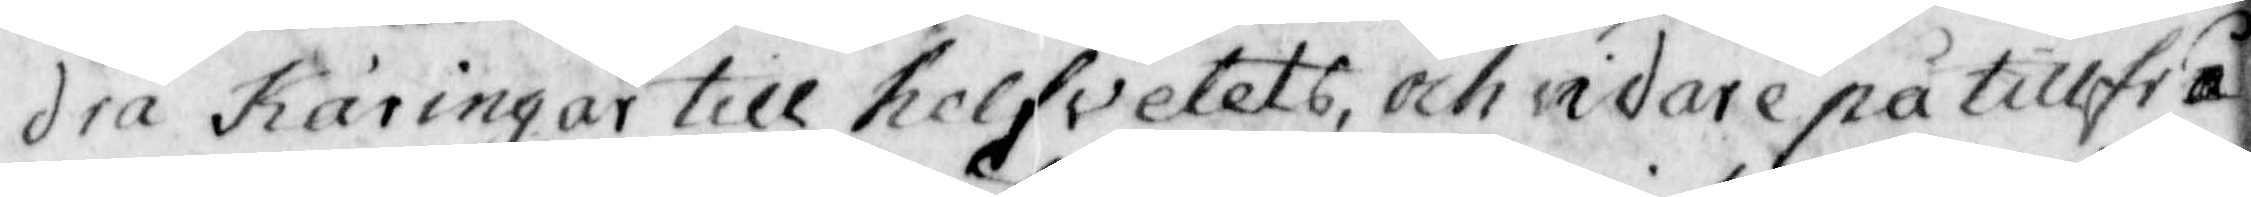dra käringar till helfvetets, och vidare på tillfrå
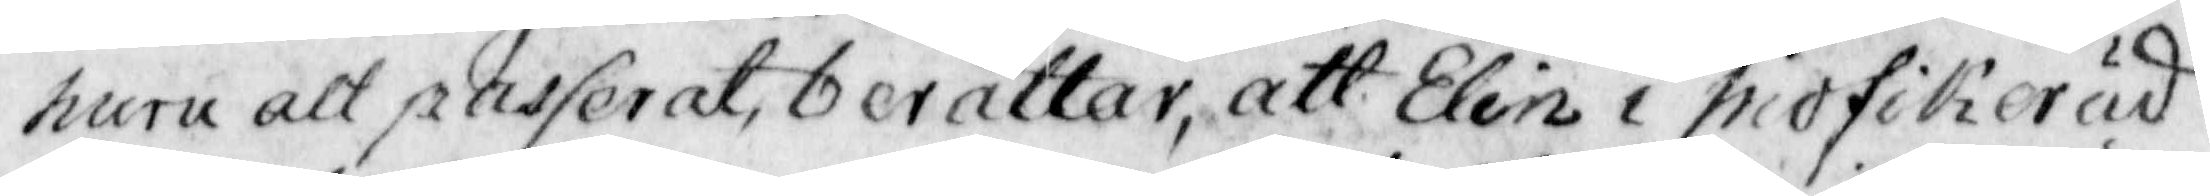huru alt passerat, berättar, att Elin i mofikerud
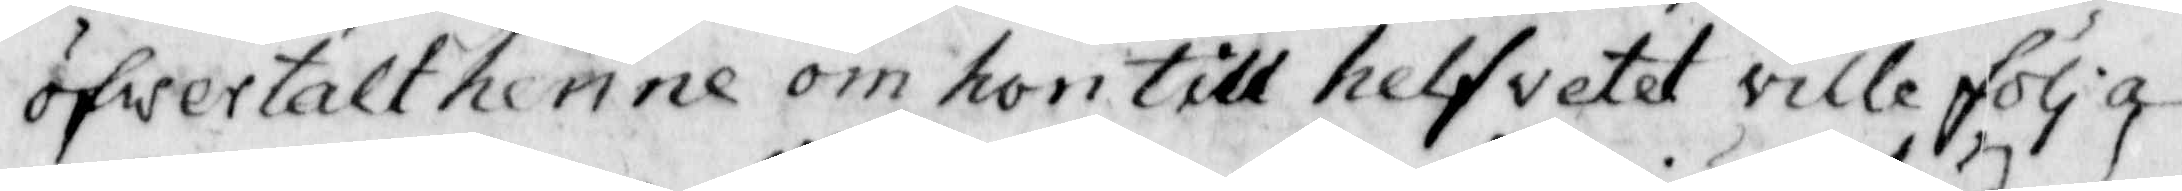öfwertalt henne om hon till helfvetet ville följa
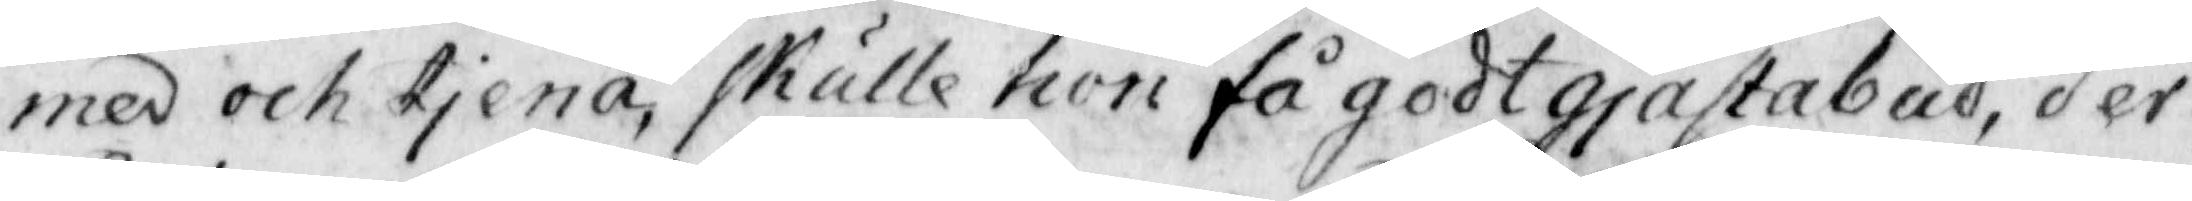med och tjena, skulle hon få godt gjästabud, der¬
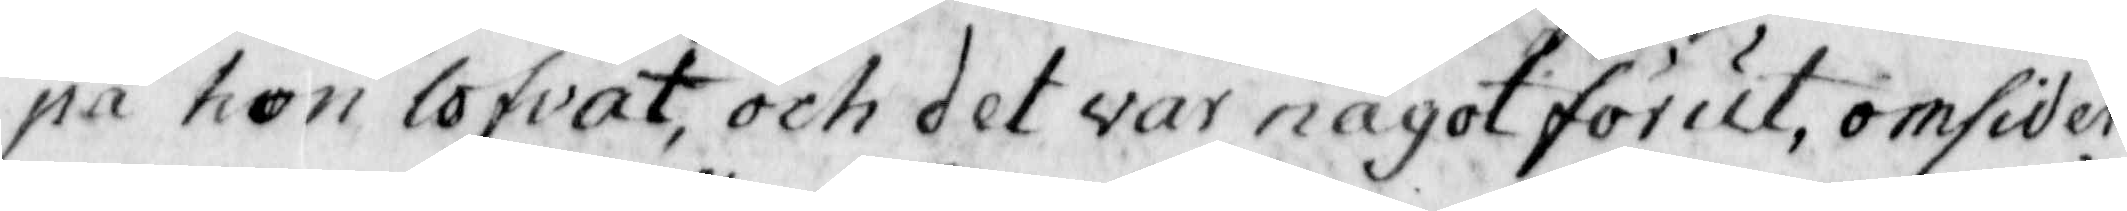på hon lofvat, och det var något förut, omsider
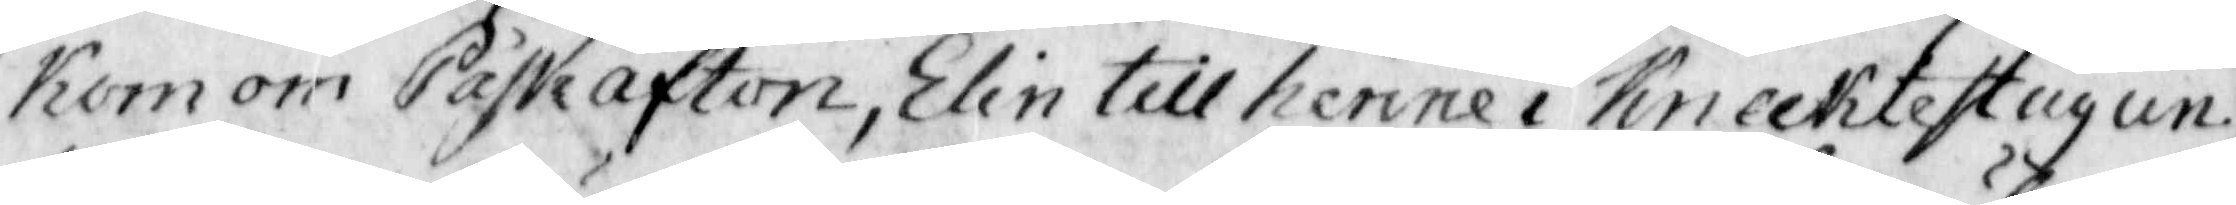kom om Påskafton, Elin till henne i Knecktestugun,
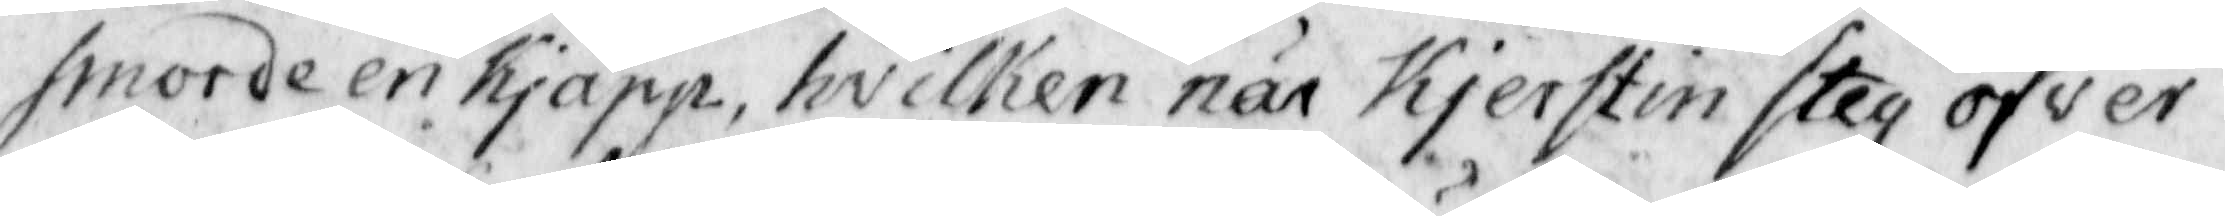smorde en Kjäpp, hvilken när Kjerstin steg öfver
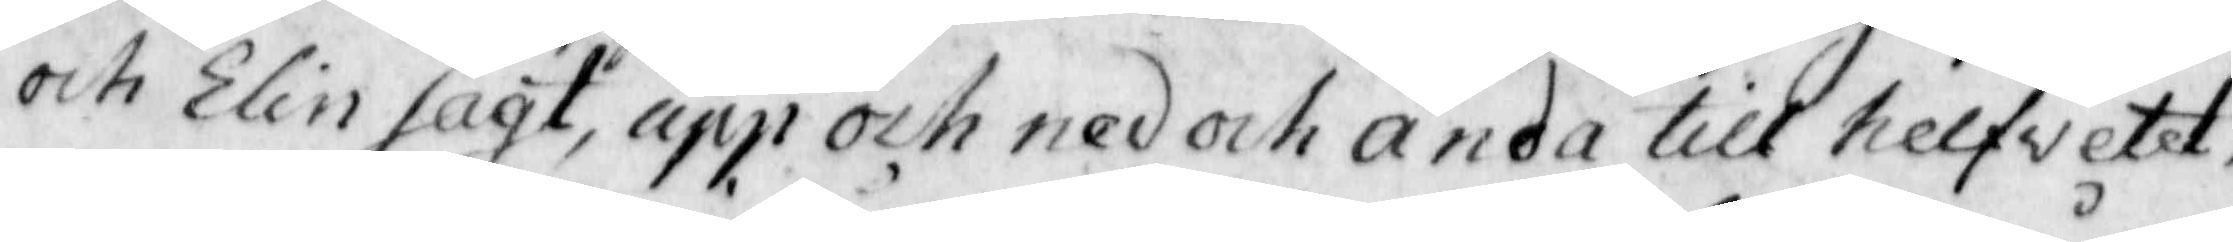och Elin sagt, upp och ned och ända till helfvetet,
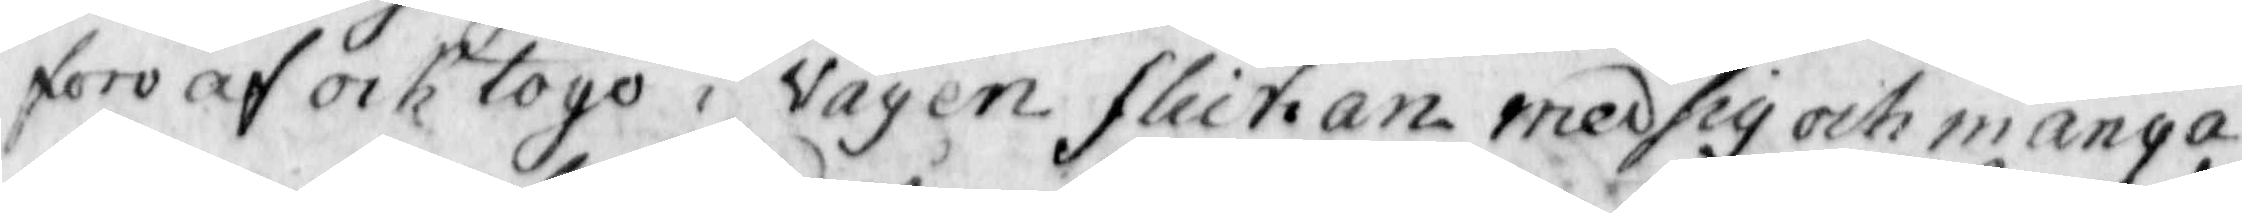foro af ock togo i vägen flickan med sig och många
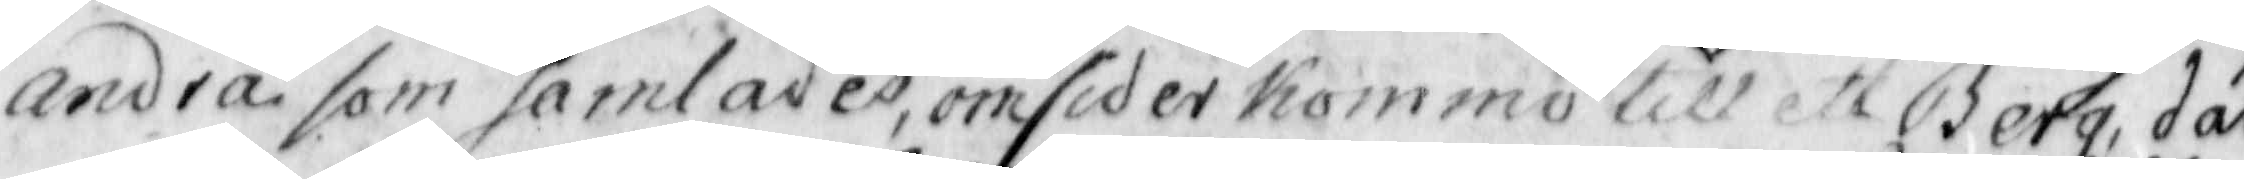andra som samlades, omsider Kommo till ett Berg, där
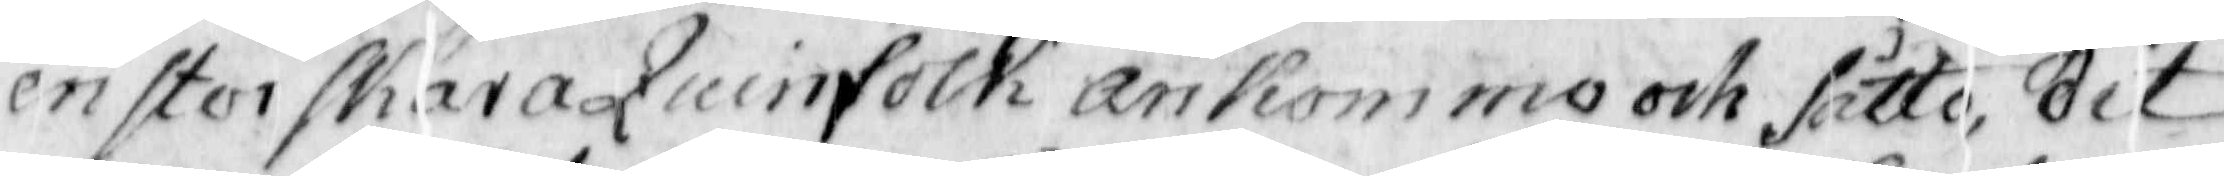en stor skara Quinnfolck ankommo och sutto, dit
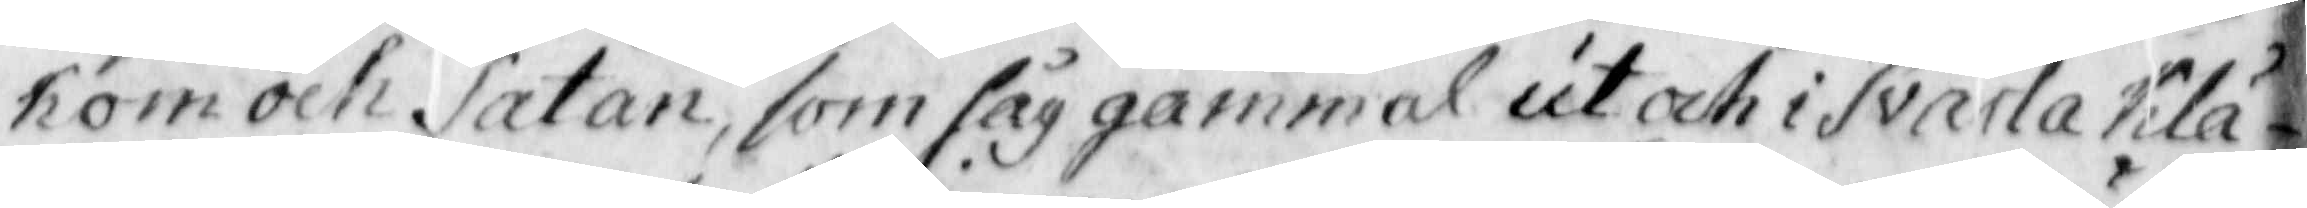kom och Satan, som såg gammal ut och i Svarta Klä¬
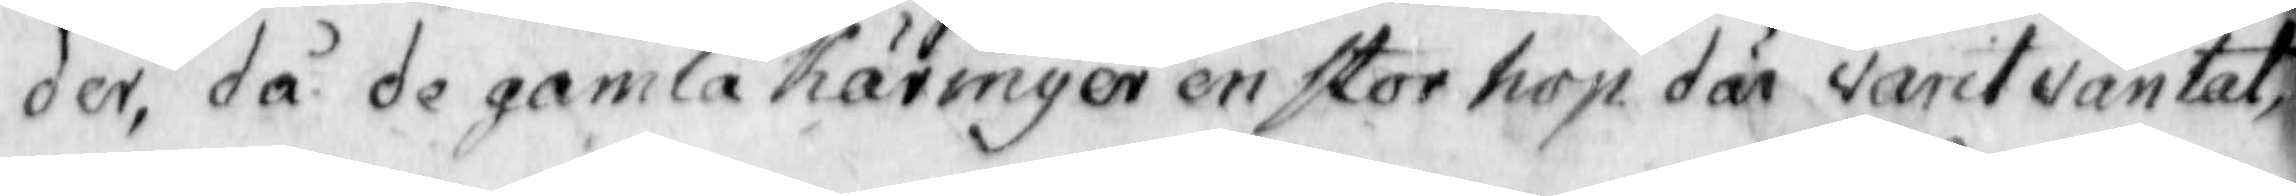der, då de gamla Käringer en stor hop där varit väntat,
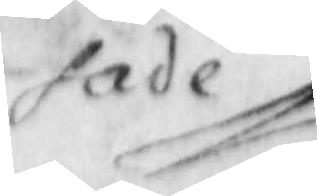sade
